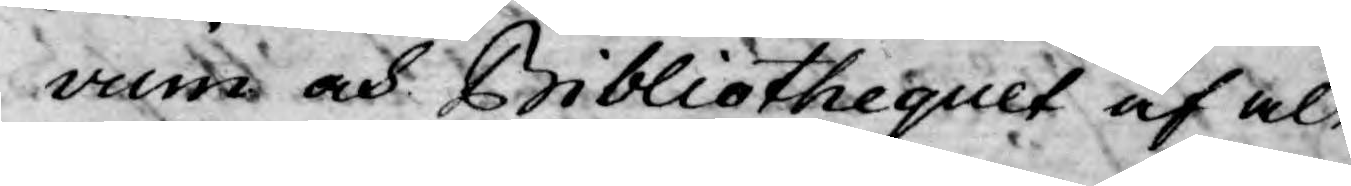vum och Bibliothequet af alt
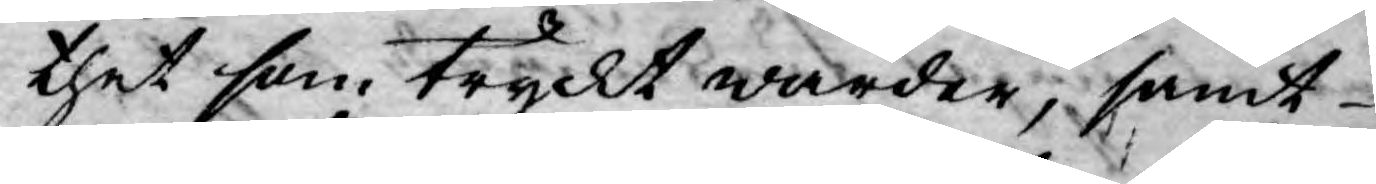thet som tryckt warder, samt
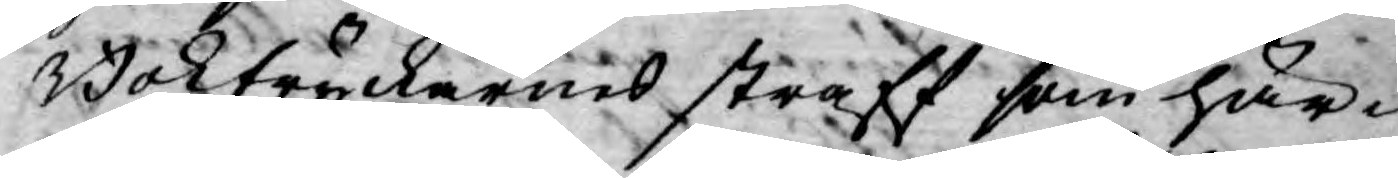Boktryckarnes straff som här¬
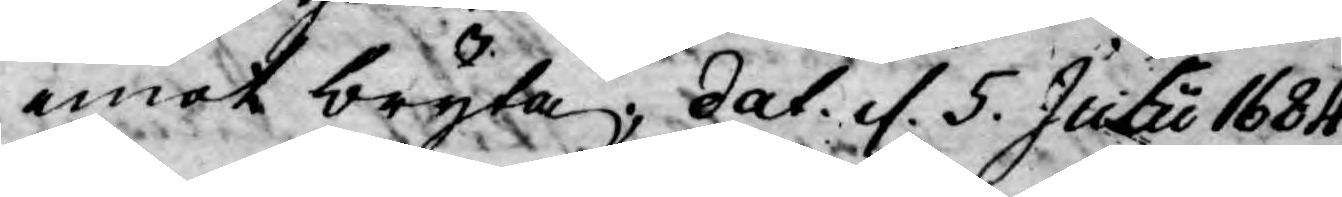emot bryta; dat. d. 5. Julu 1684.
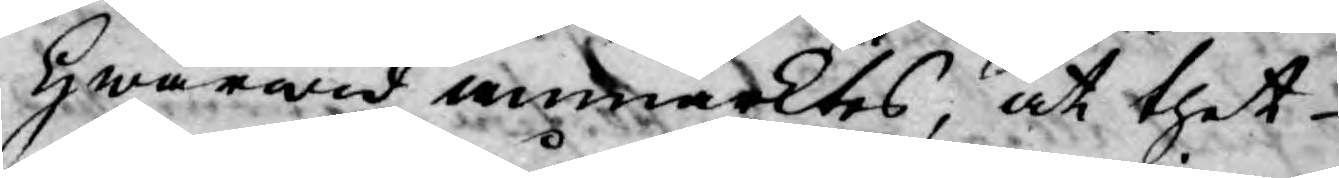Hwarwid anmärktes, at thet
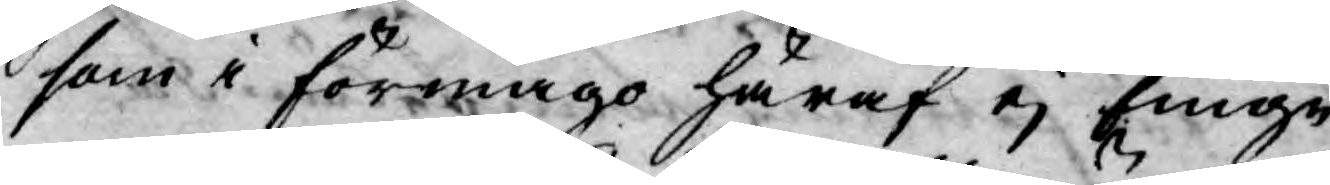som i förmågo häraf ej finge
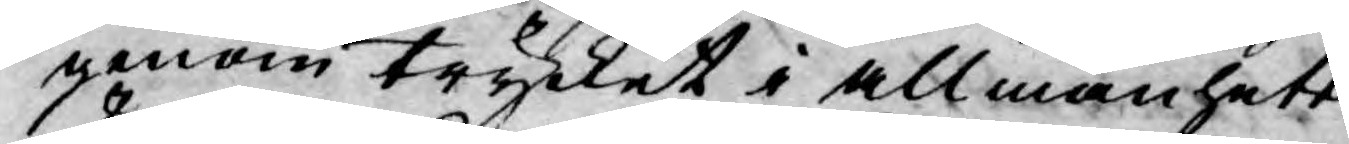genom trycket i allmänheten
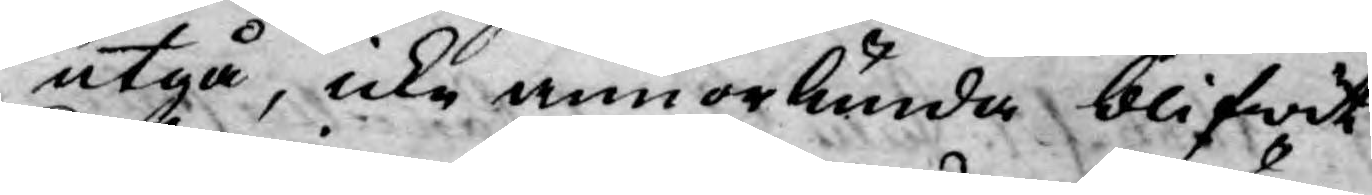utgå, icke annorlunda blifwit
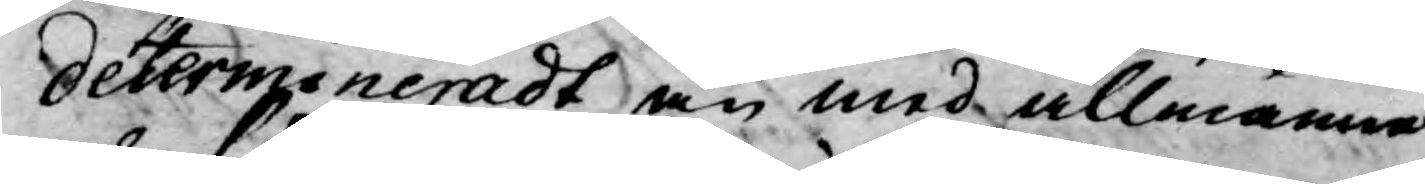determineradt än med allmänna
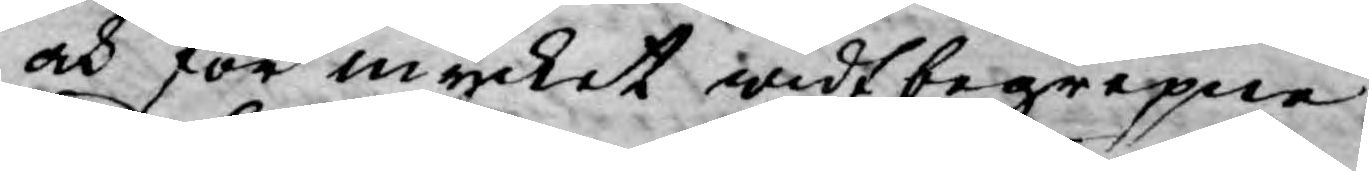och för mycket widt begrepne
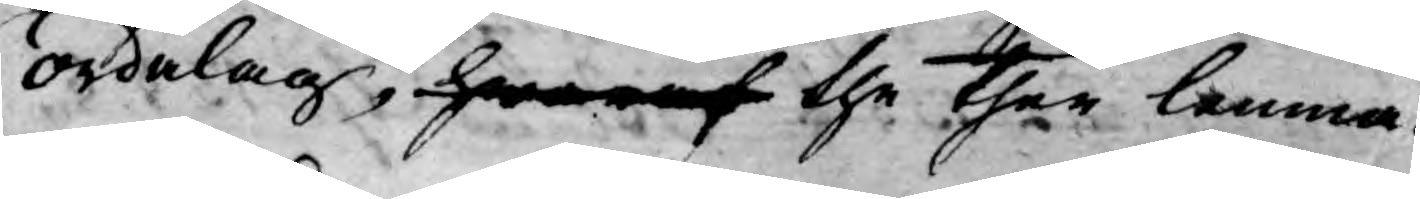ordalag, hwaraf the ther lemna¬
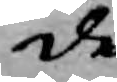de.
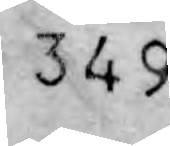349
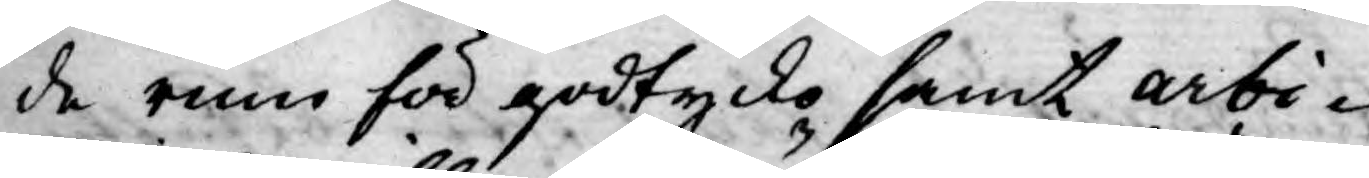de rum för godtycko samt arbi¬
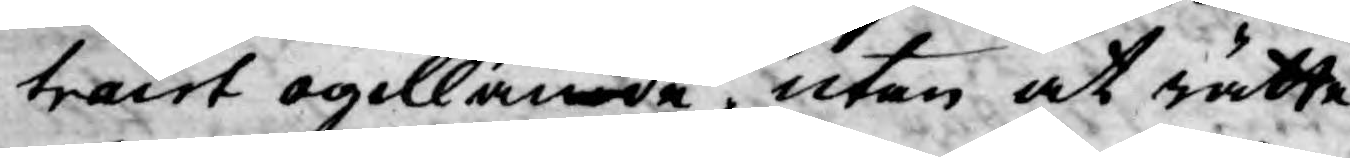trairt ogillande, utan at rätte
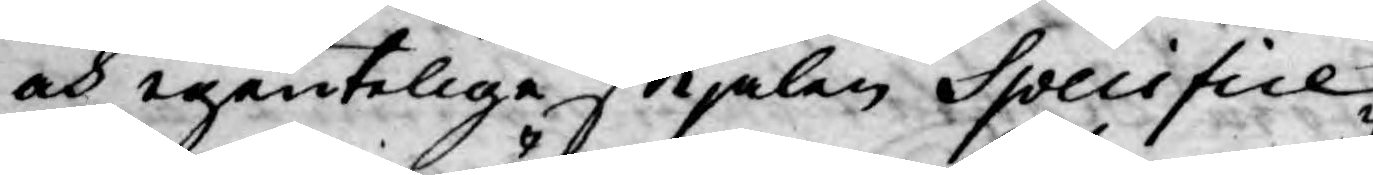och egenteliga skjälen Specifice
